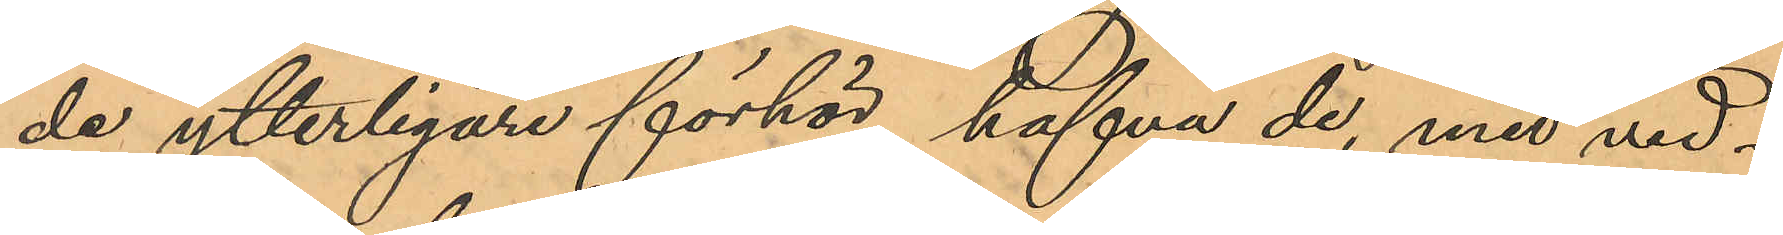de ytterligare förhör hafva de, med vid¬
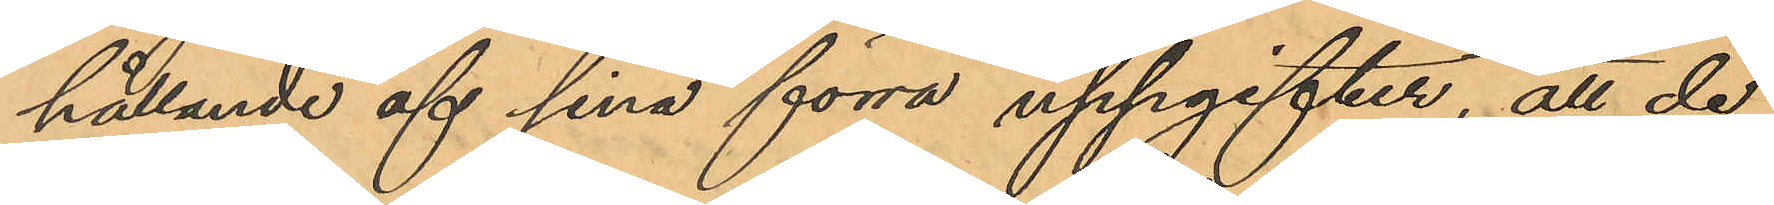hållande af sina förra uppgifter, att de
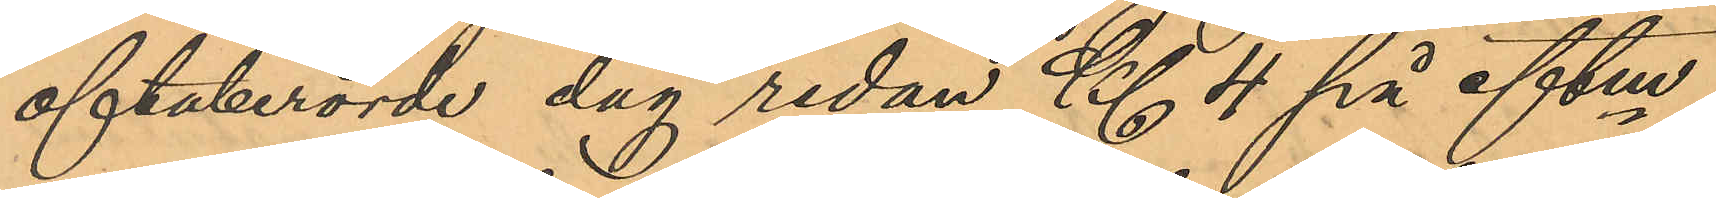oftaberörde dag redan Kl 4 på eftm
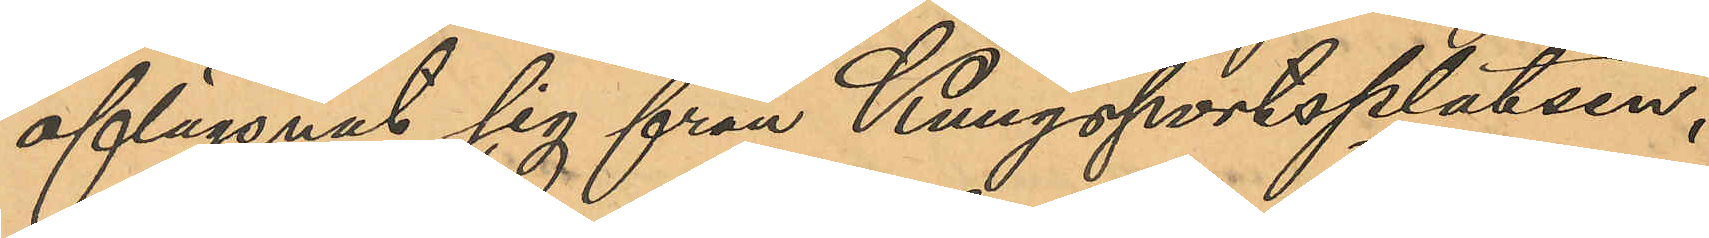aflägsnat sig från Kungsportsplatsen,
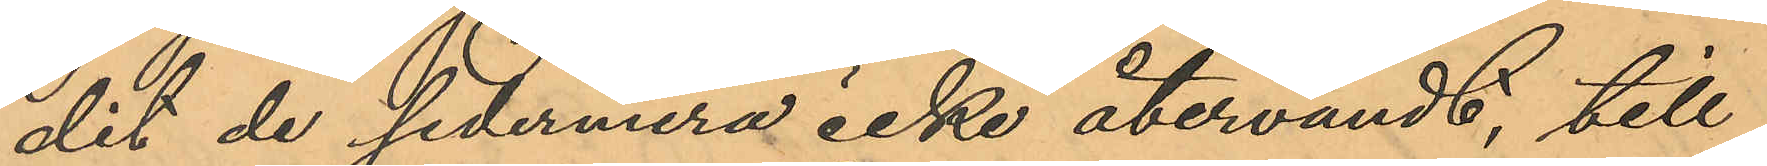dit de sedermera icke återvändt, till
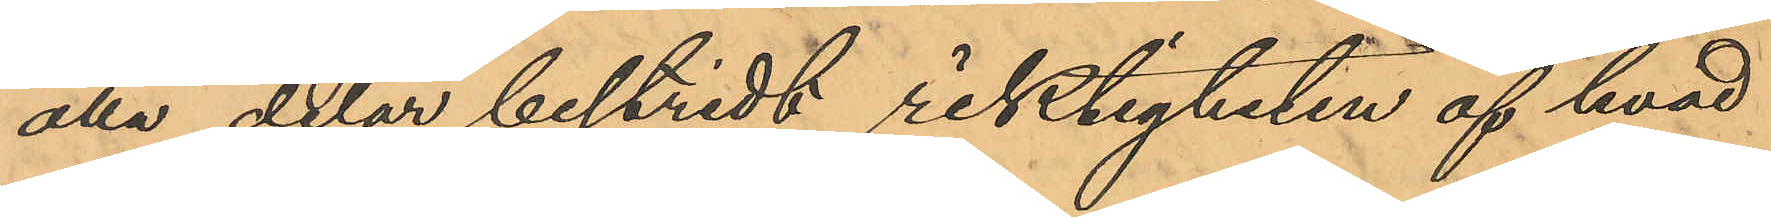alla delar bestridt riktigheten af hvad
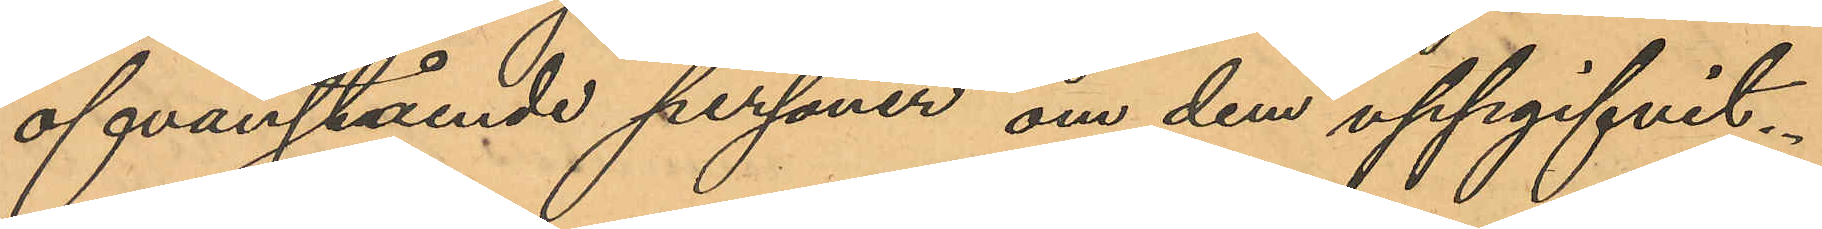ofvanstående personer om dem uppgifvit.
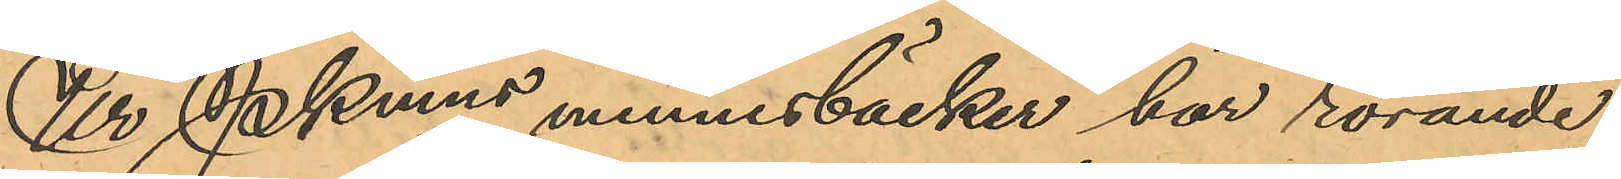Ur Pkmns minnesböcker har rörande
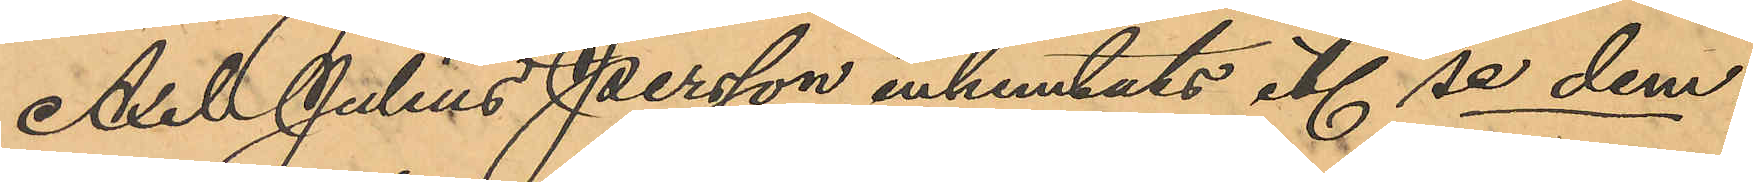Axel Julius Persson inhemtats etc se dem.
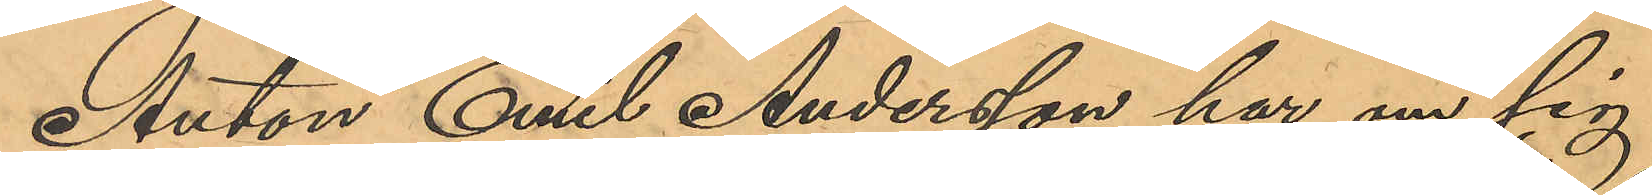Anton Emil Andersson har om sig
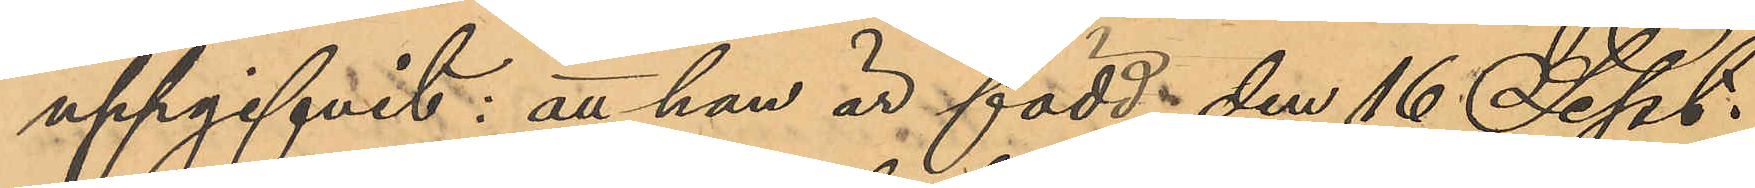uppgifvit: att han är född den 16 Sept.
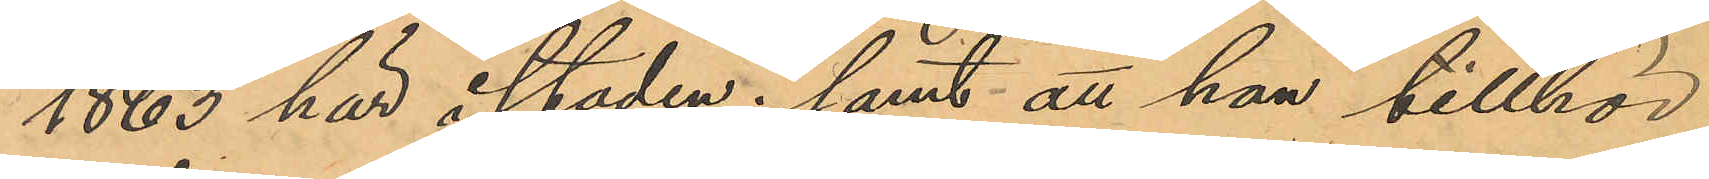1863 här i staden; samt att han tillhör
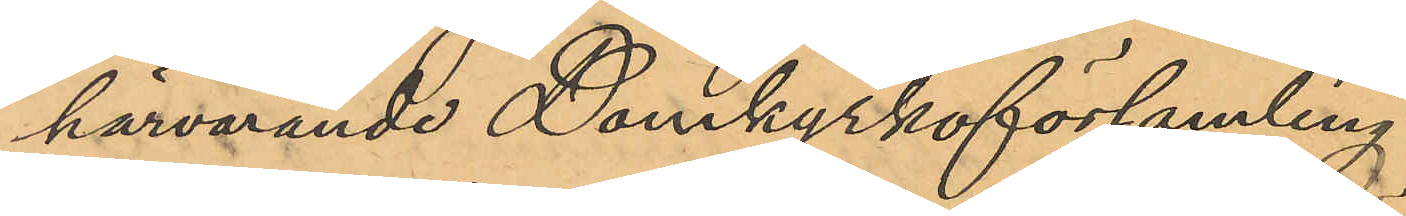härvarande Domkyrkoförsamling.
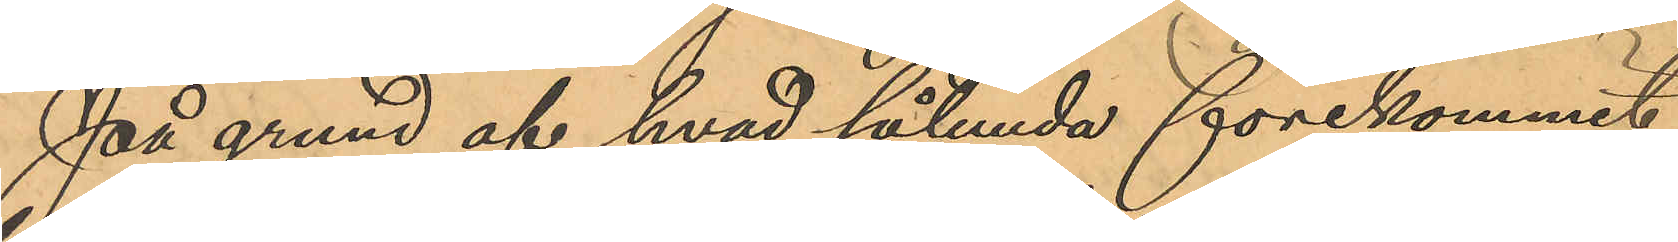På grund af hvad sålunda förekommit
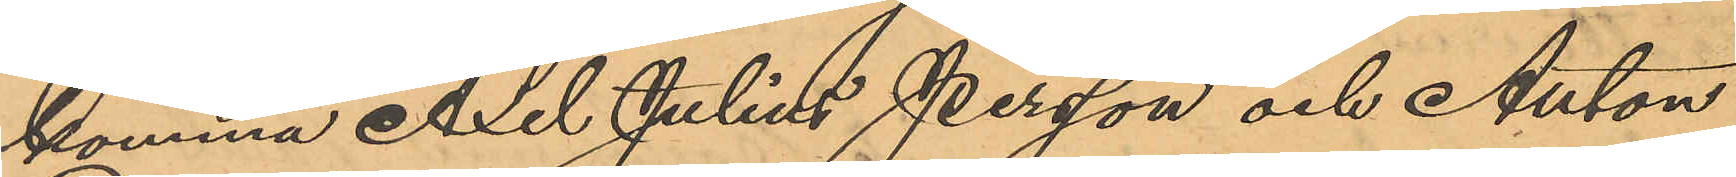komma Axel Julius Persson och Anton
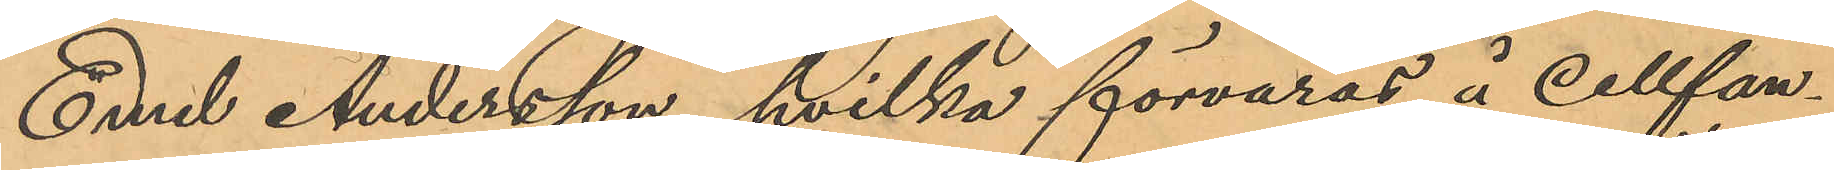Emil Andersson, hvilka förvaras å cellfän¬
